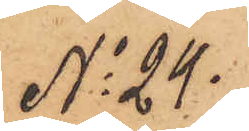No 24.
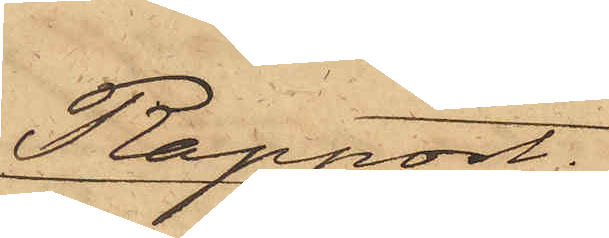Rapport.
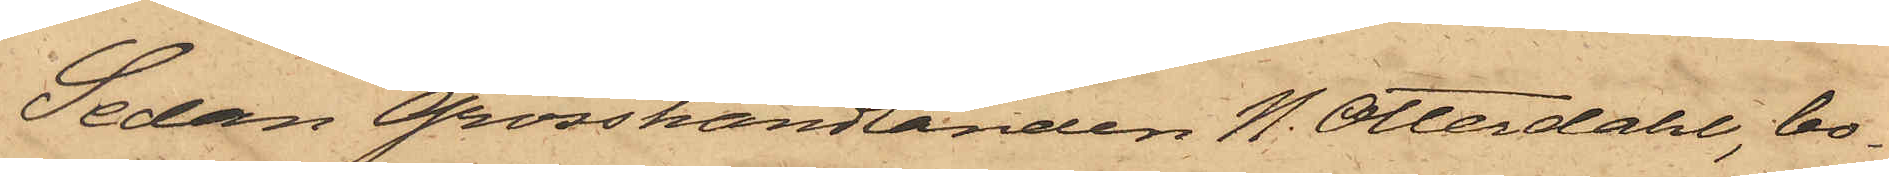Sedan Grosshandlanden N. Otterdahl, bo¬
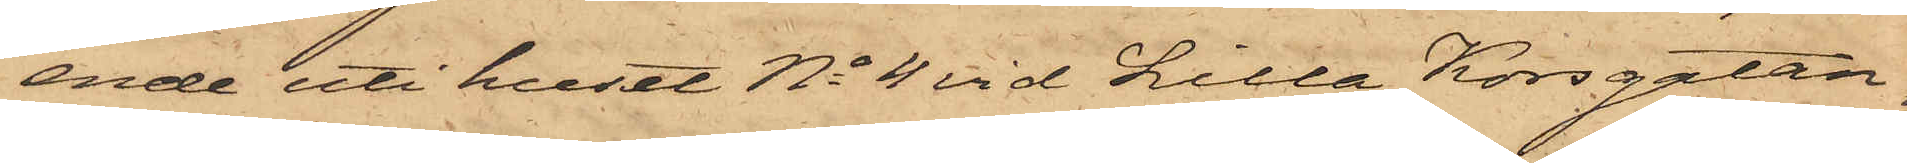ende uti huset No 4 vid Lilla Korsgatan,
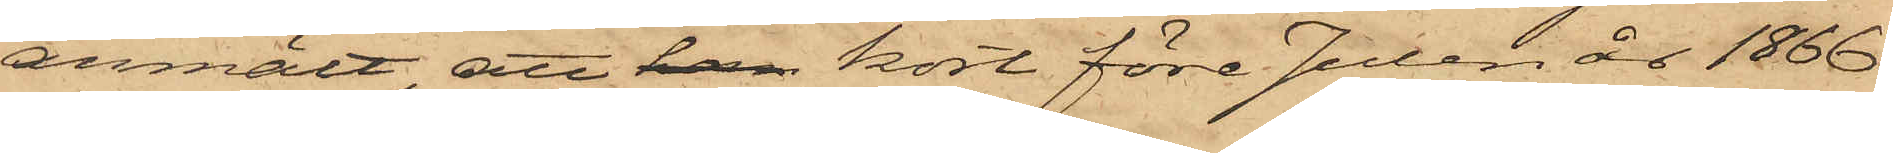anmält, att han kort före Julen år 1866
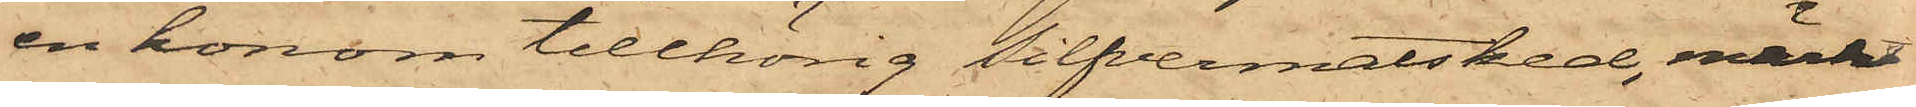en honom tillhörig silfvermatsked, märkt
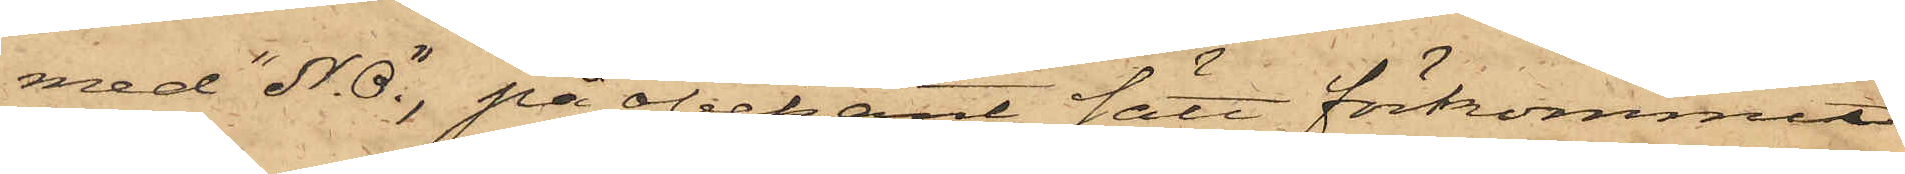med "N. O." på obekant sätt förkommit
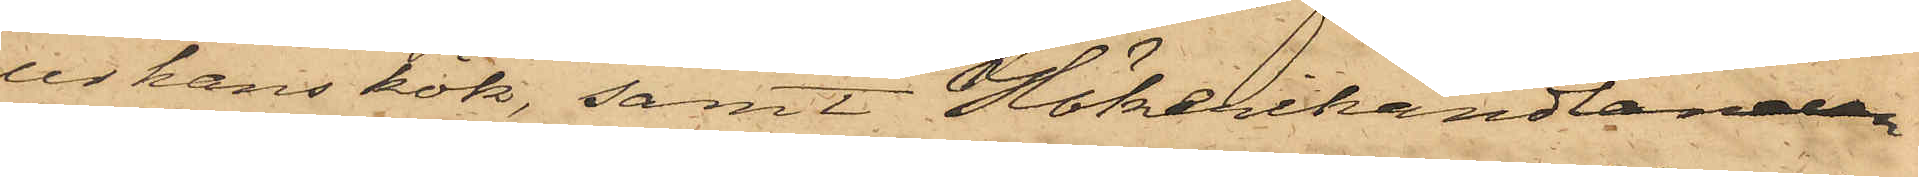ur hans kök, samt Hökerihandlanden
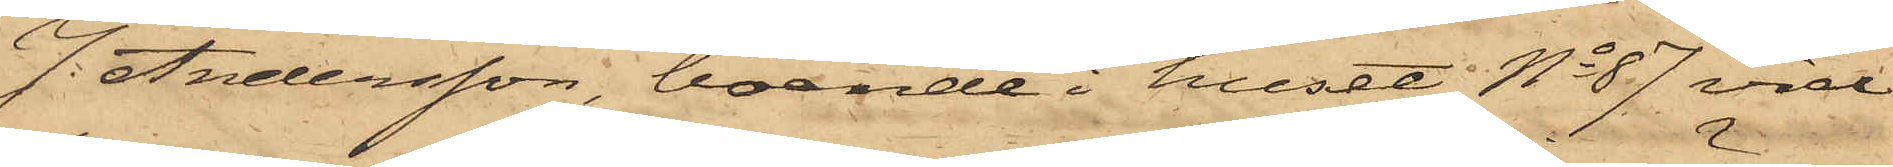J. Andersson, boende i huset No 87 vid
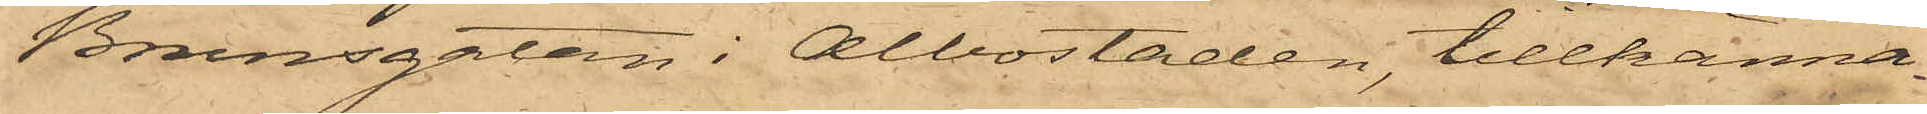Brunsgatan i Albostaden, tillkänna¬
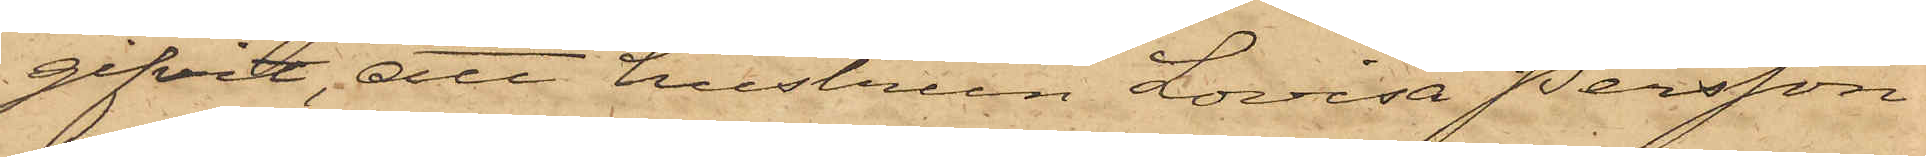gifvit, att hustrun Lovisa Persson
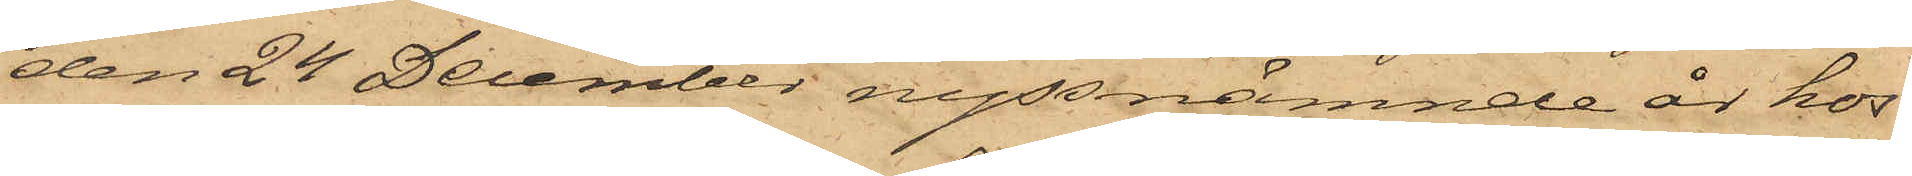den 24 December nyssnämnde år hos
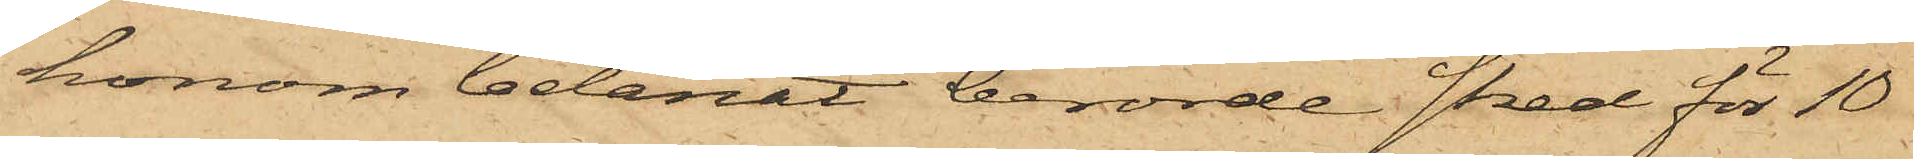honom belånat berörde sked för 10
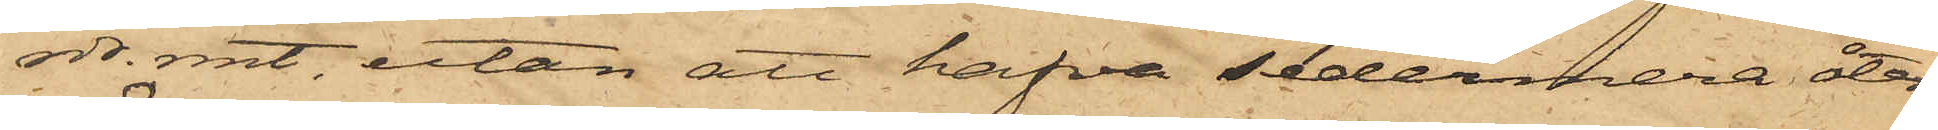rdr. rmt, utan att hafva sedermera åter¬
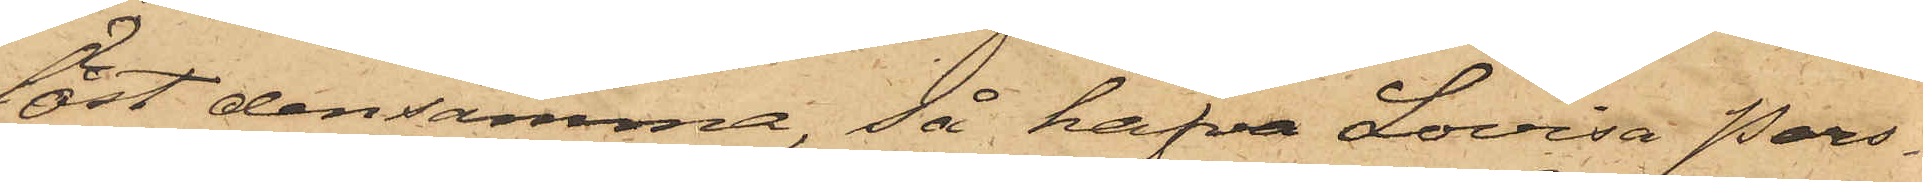löst densamma, så hafva Lovisa Pers¬
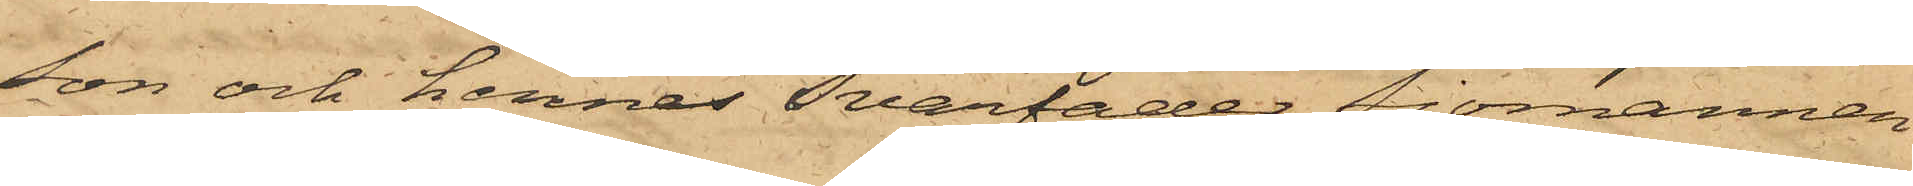son och hennes Svärfader Sjömannen
